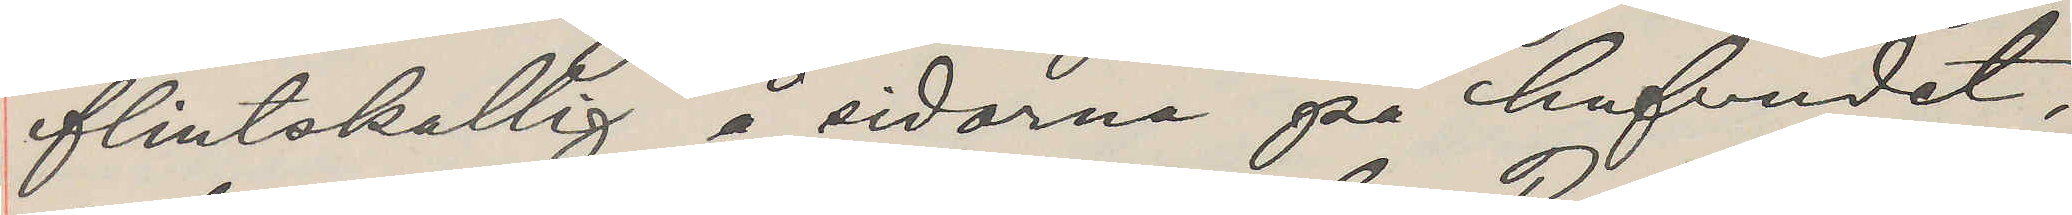flintskallig å sidorna på hufvudet,
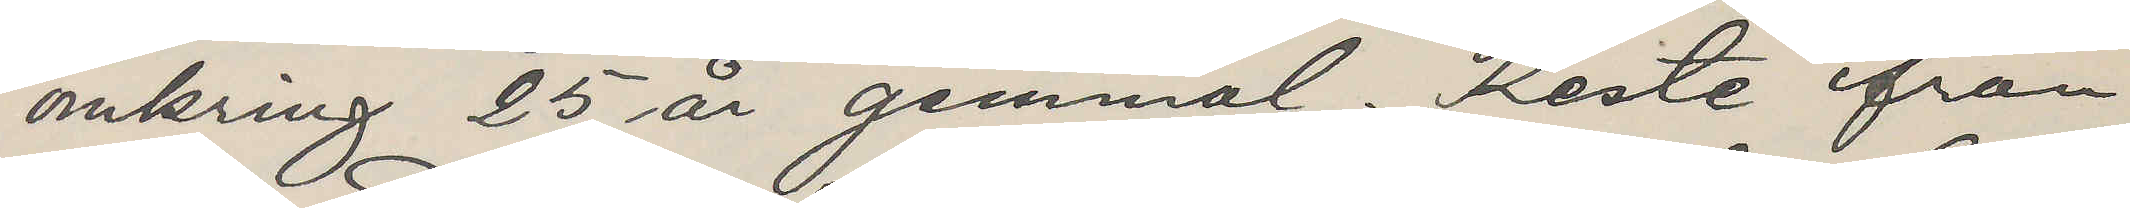omkring 25 år gammal. Reste ifrån
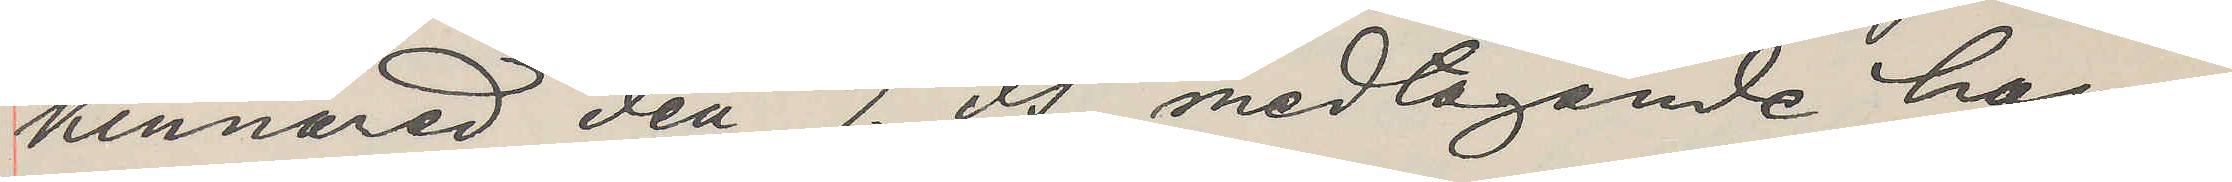Kinnared den 7. ds medtagande han¬
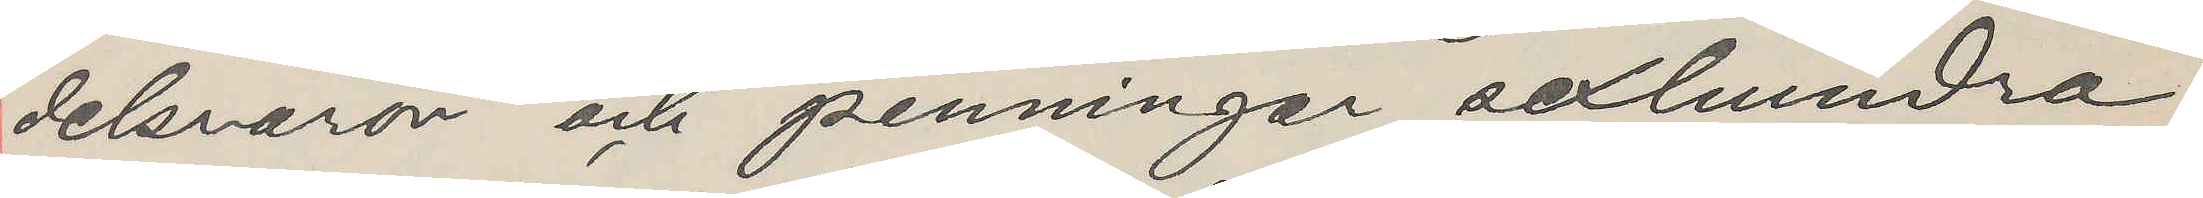delsvaror och penningar sexhundra
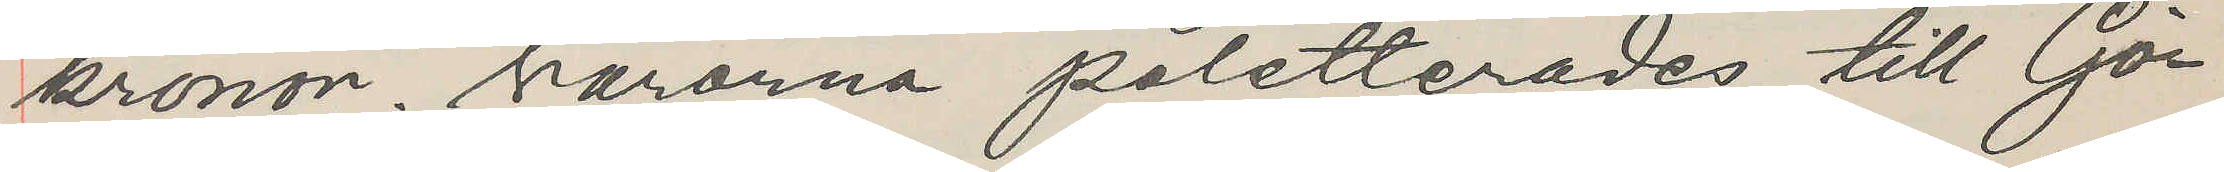kronor. Varorna poletterades till Gö¬
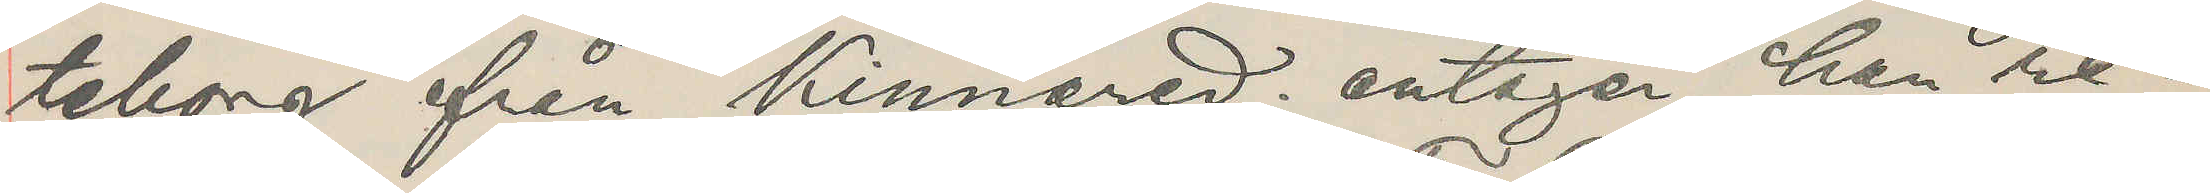teborg från Kinnared; antager han re¬
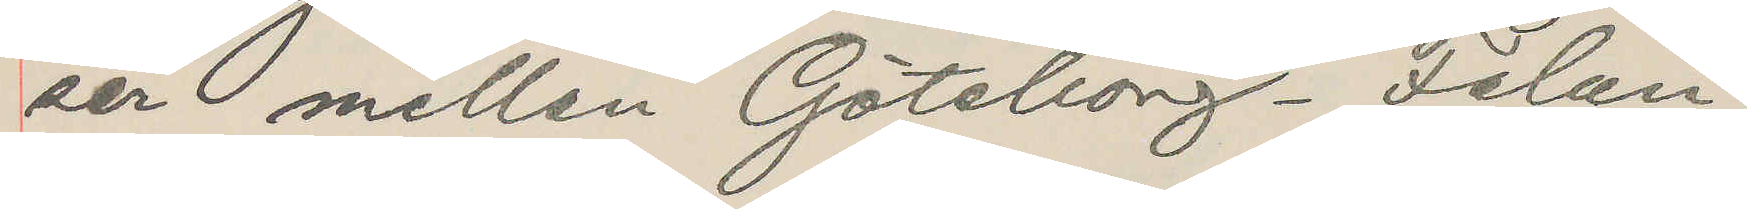ser mellan Göteborg-Falun.
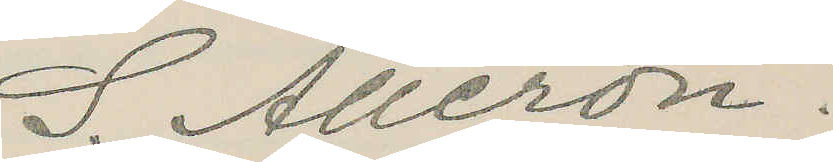S. Alleron.
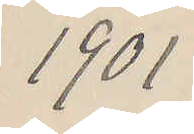1901
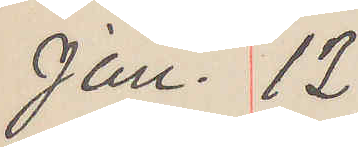Jan. 12
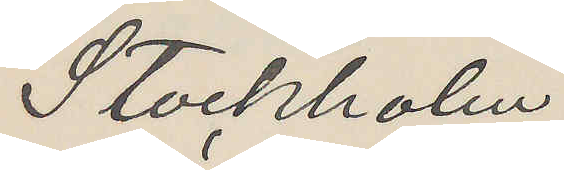Stockholm
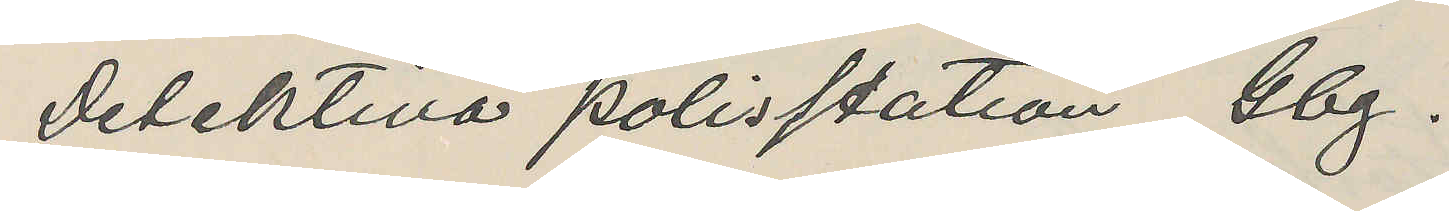Detektiva polisstation Gbg.
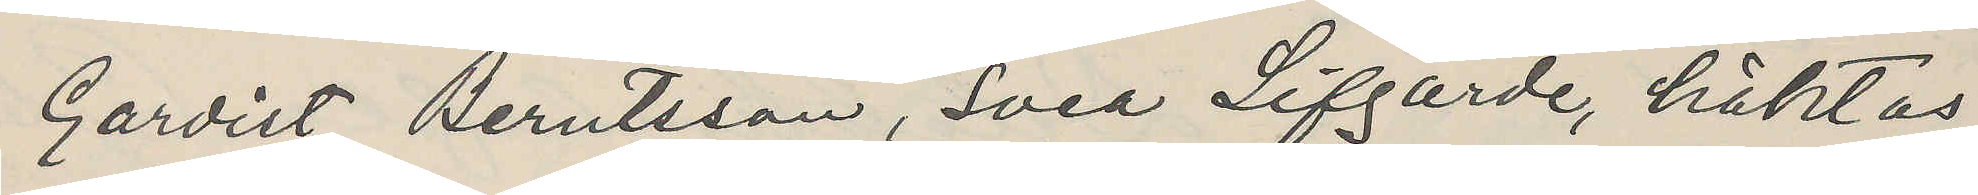Gardist Berntsson, Svea Lifgarde, häktas
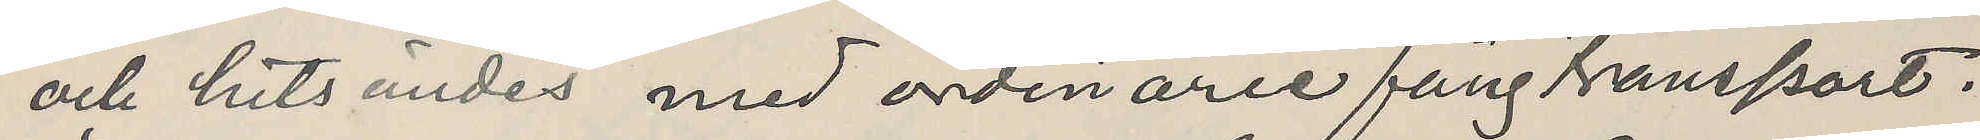och hitsändes med ordinarie fångtransport.
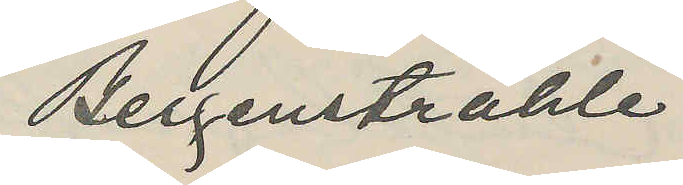Bergenstråhle
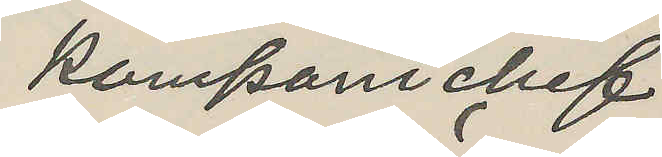Kompanichef
